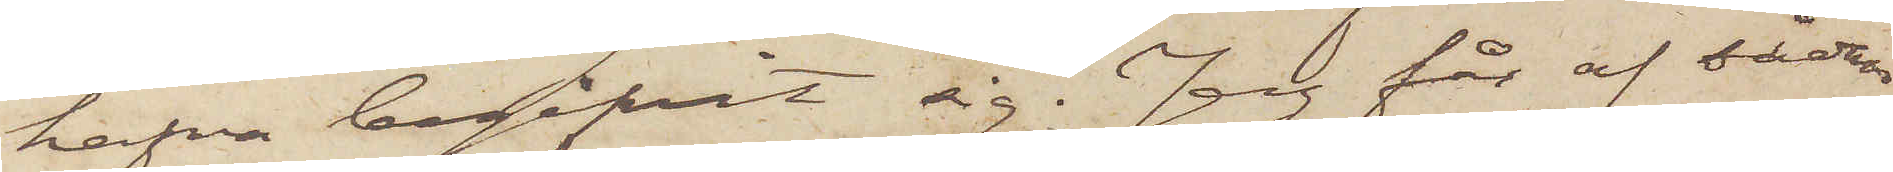hafva begifvit sig. Jag får af sådan
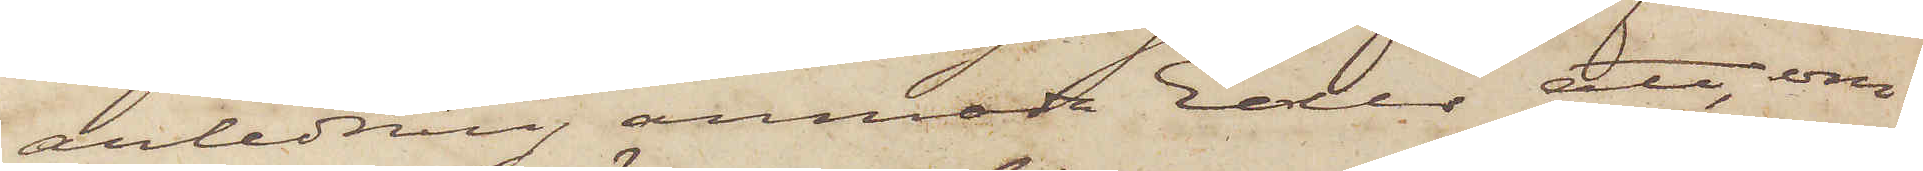anledning anmoda Eder att, om
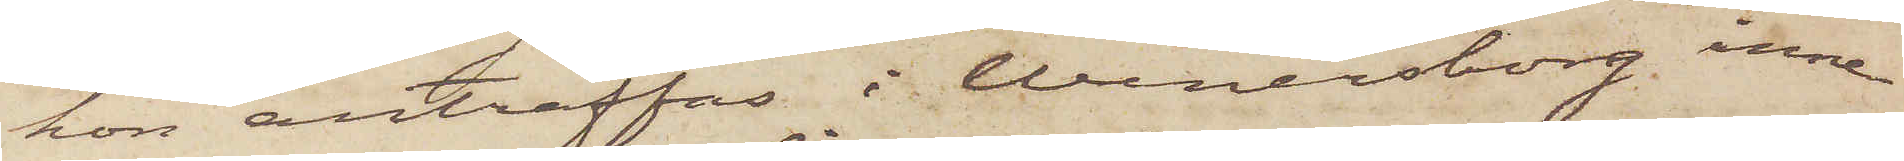hon anträffas i Wenersborg inne¬
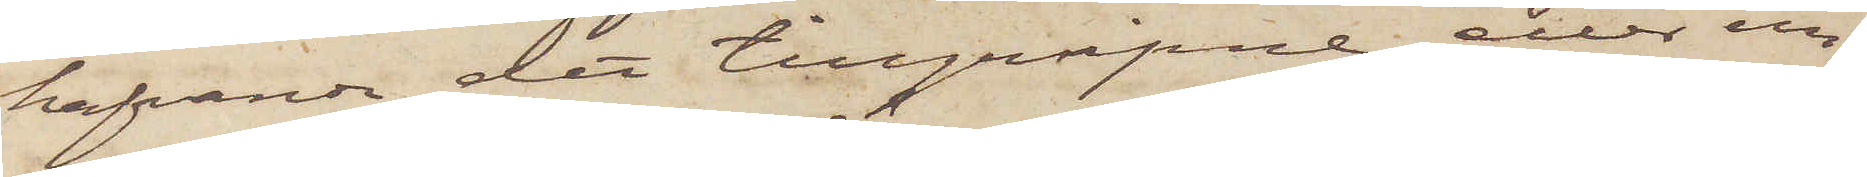hafvande det tillgripne eller un¬
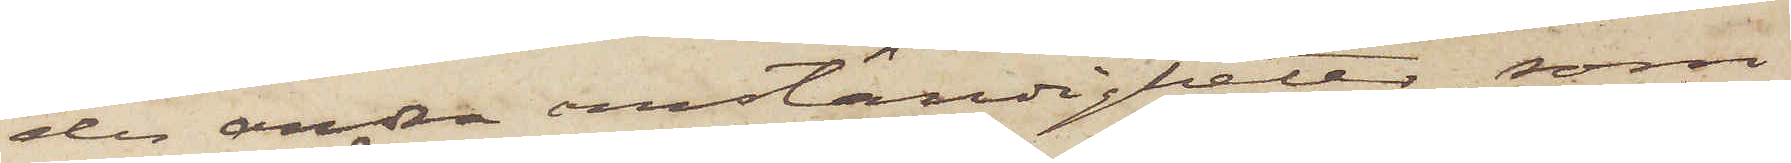de andra omständigheter, som
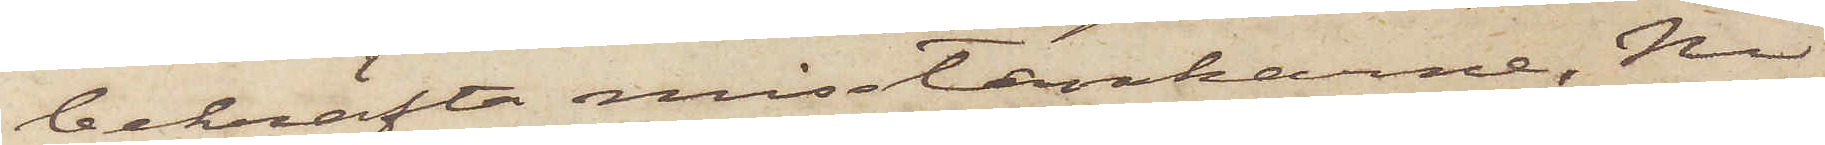bekräfta misstankarne, Ni
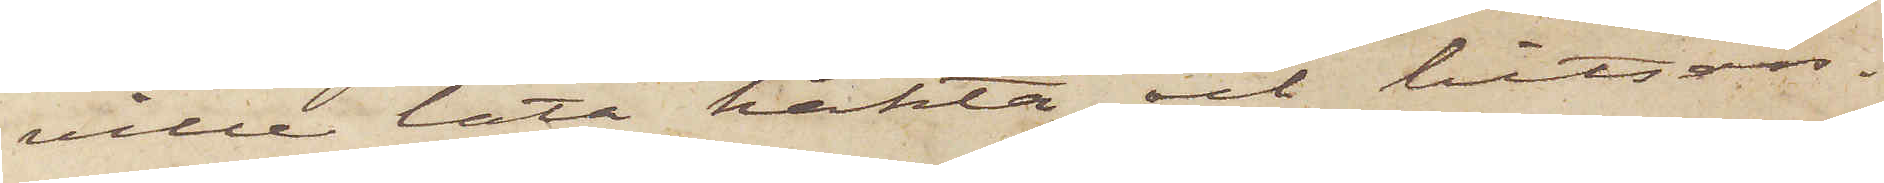ville låta häkta och hitsän¬
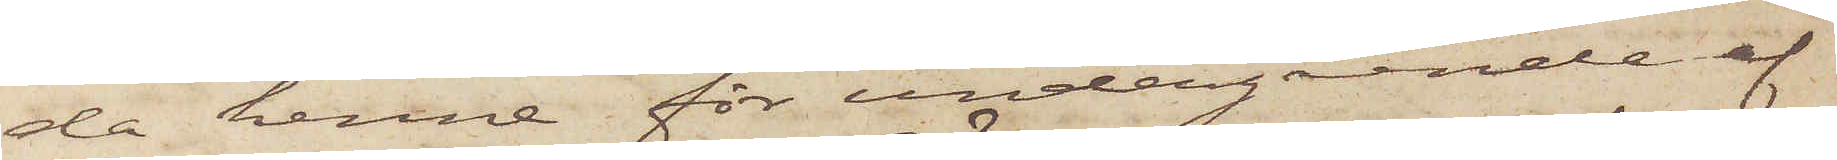da henne för undergående af
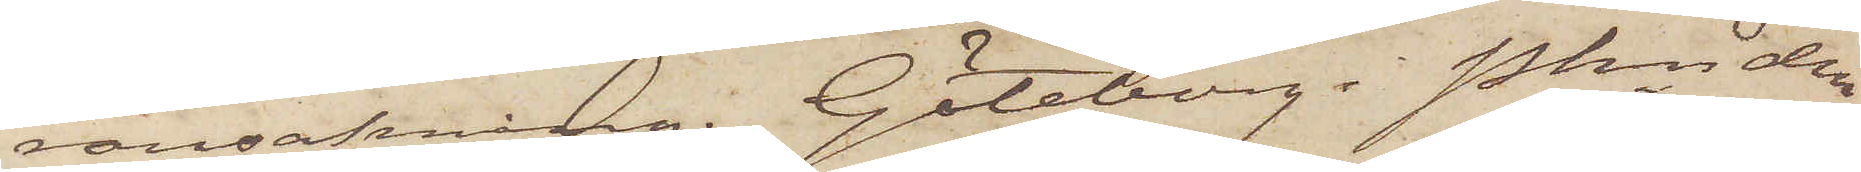ransakning. Göteborg i Pkn den
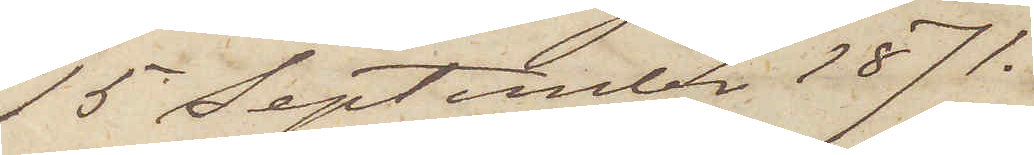15 September 1871.
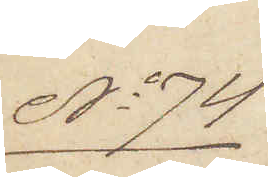No 74.
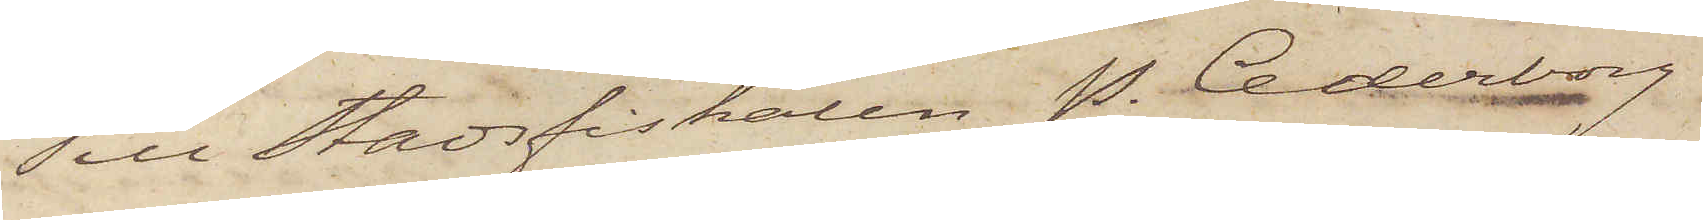Till Stadsfiskalen P. Cederborg
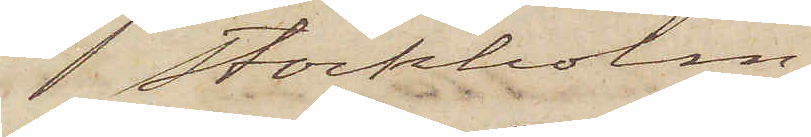Stockholm.
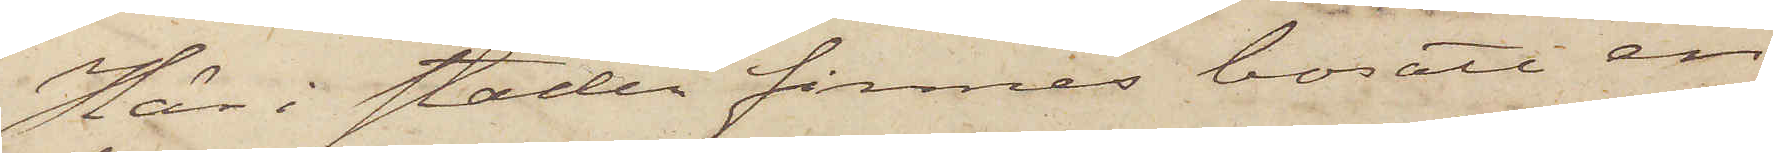Här i staden finnes bosatt en
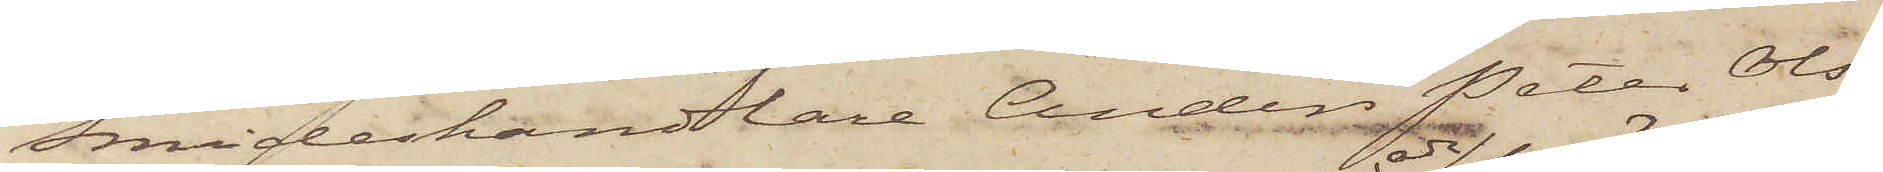Smideshandlare Anders Peter Ols¬
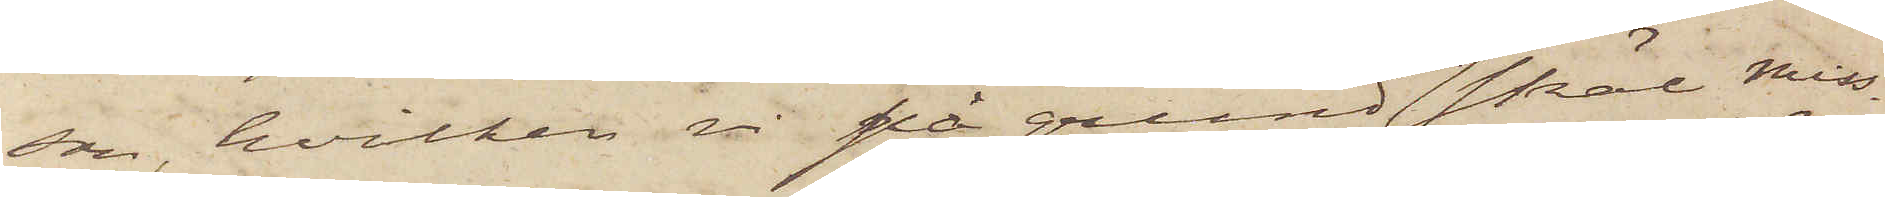son, hvilken vi på grund och skäl miss¬
